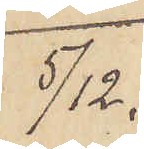5/12.
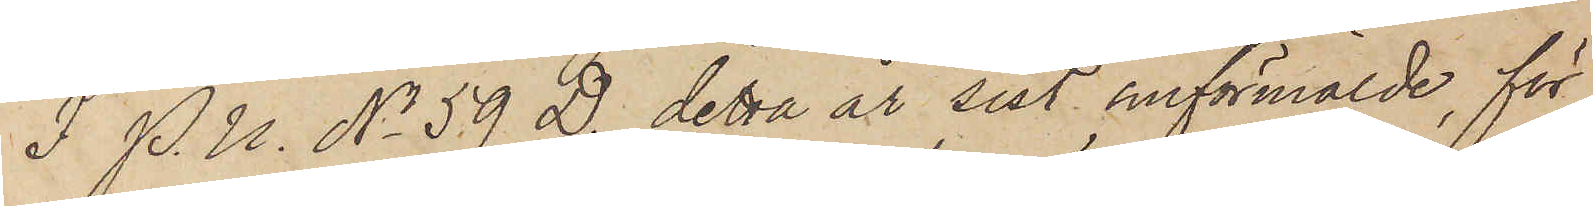I P. U. No 59 D. detta år sist omförmälde, för
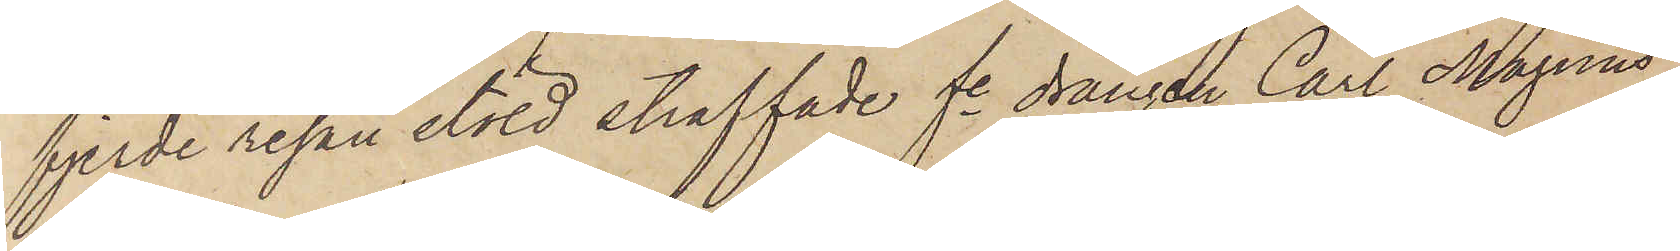fjerde resan stöld straffade fe drängen Carl Magnus
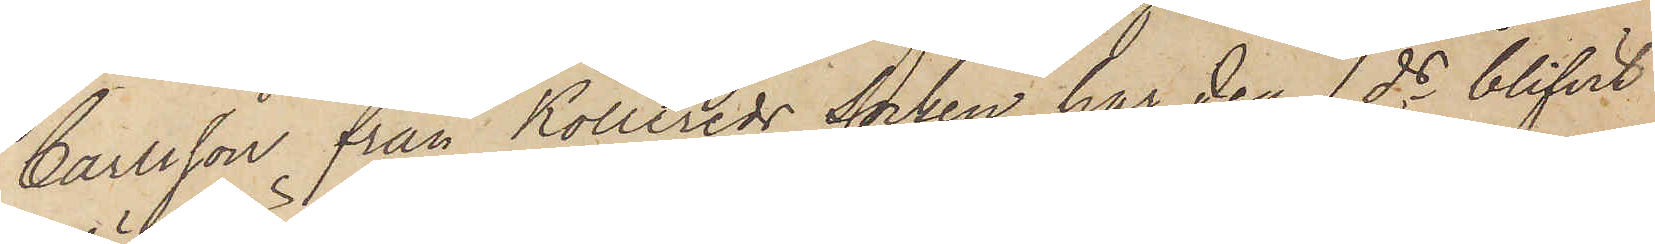Carlsson från Kollereds Socken har den 1 ds blifvit
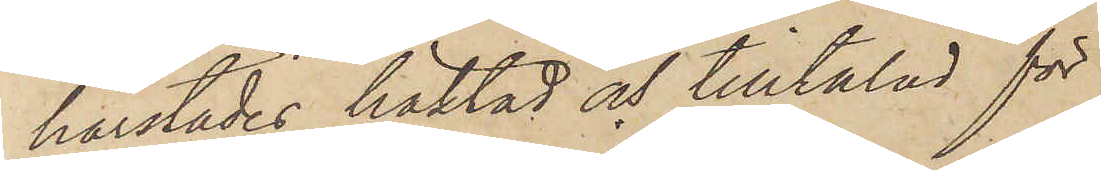härstädes häktad och tilltalad för
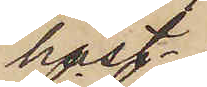häst¬
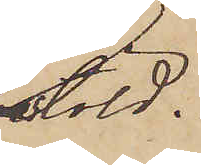stöld.
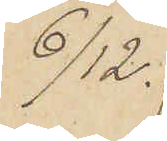6/12.
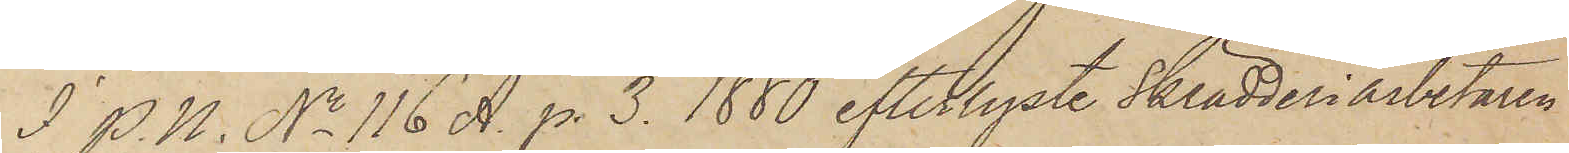I P. U. No 116 A. p. 3. 1880 efterlyste Skrädderiarbetaren
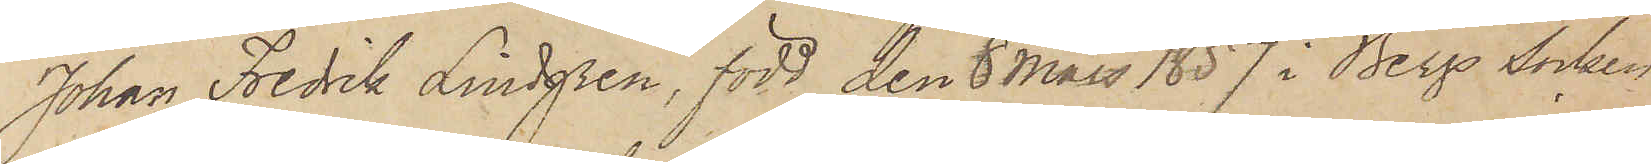Johan Fredrik Lindgren, född den 8 Mars 1857 i Bergs socken
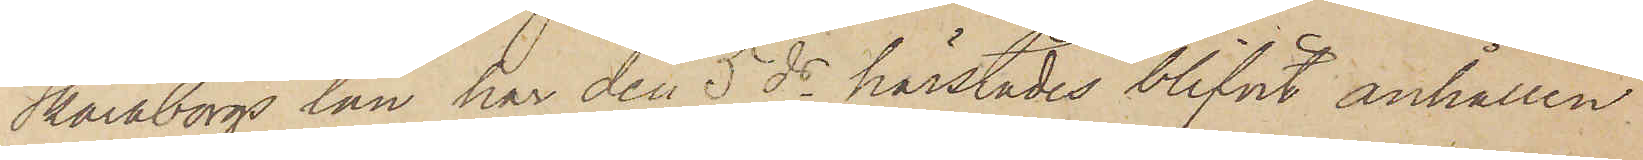Skaraborgs län har den 5 ds härstädes blifvit anhållen.
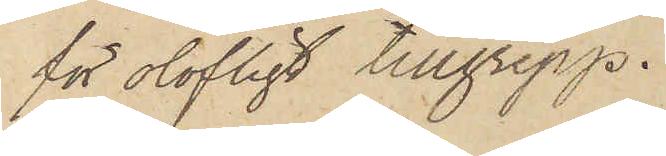för olofligt tillgrepp.
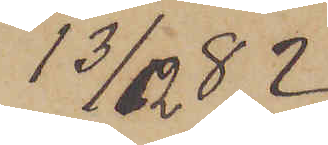13/12  82.
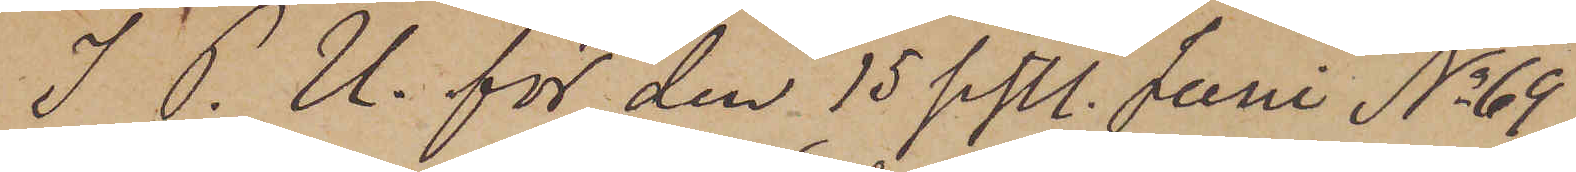I P. U. för den 15 sistl. Juni No 69
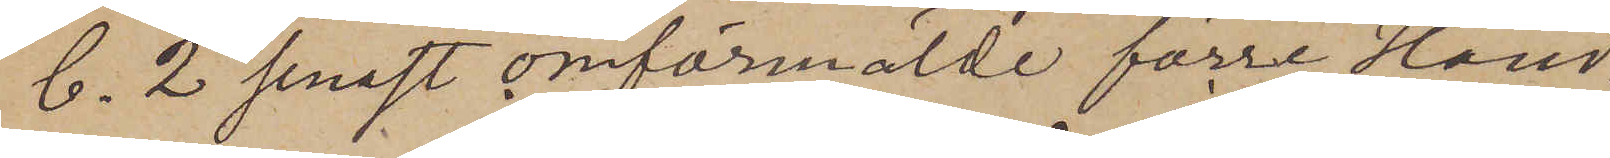C. 2 senast omförmälde förre Hand¬
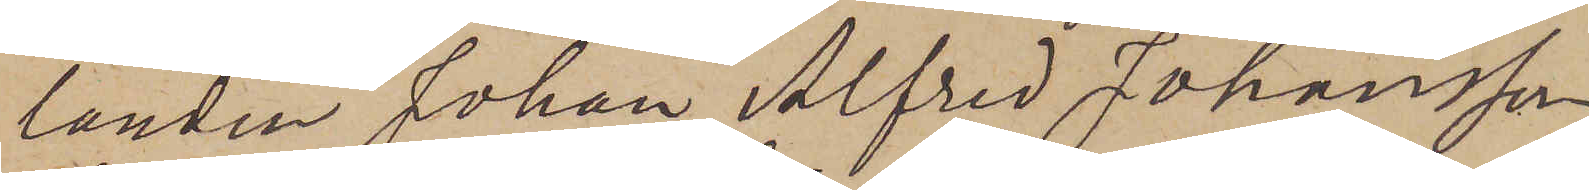landen Johan Alfred Johansson
